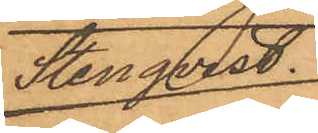Stenqvist.
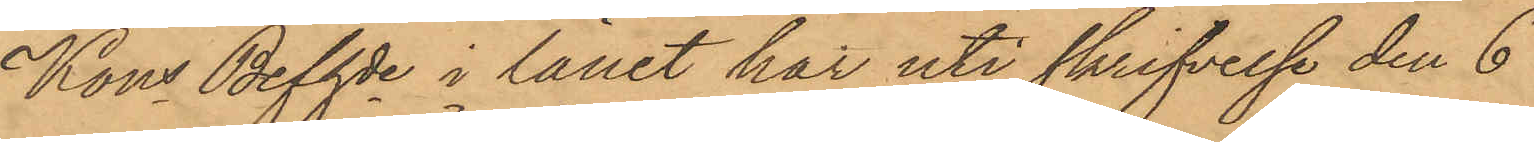Kons Befhde i länet har uti skrifvelse den 6
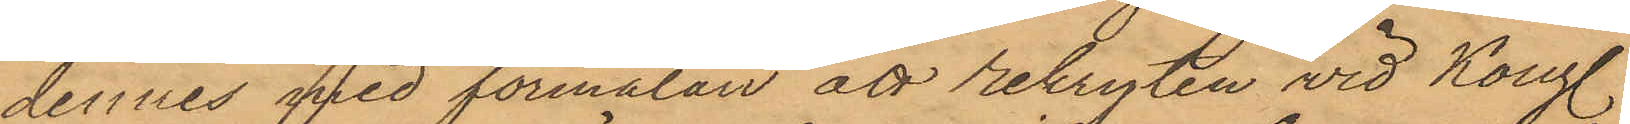dennes med förmälan att rekryten vid Kongl
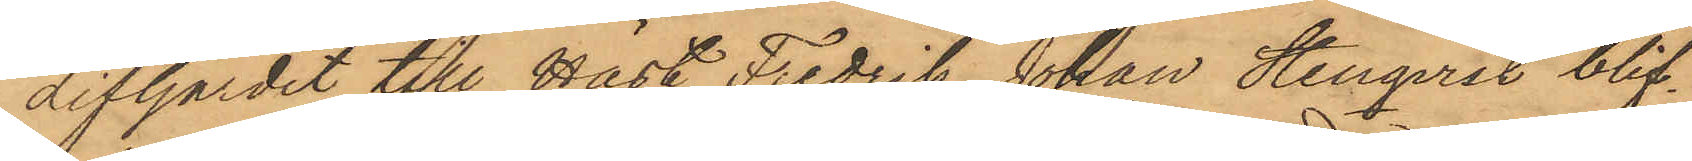Lifgardet till Häst Fredrik Johan Stenqvist blif¬
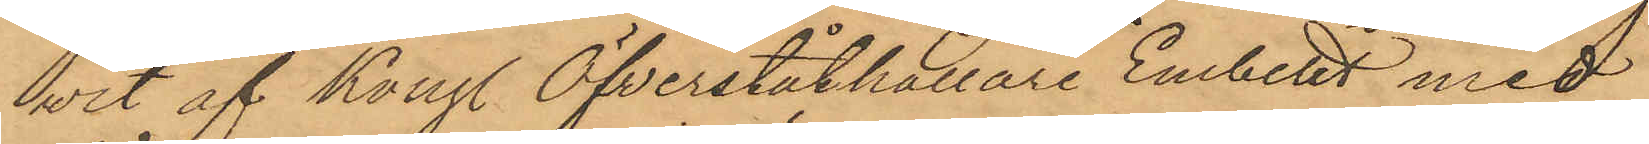vit af Kongl Öfverståthållare Embetet med
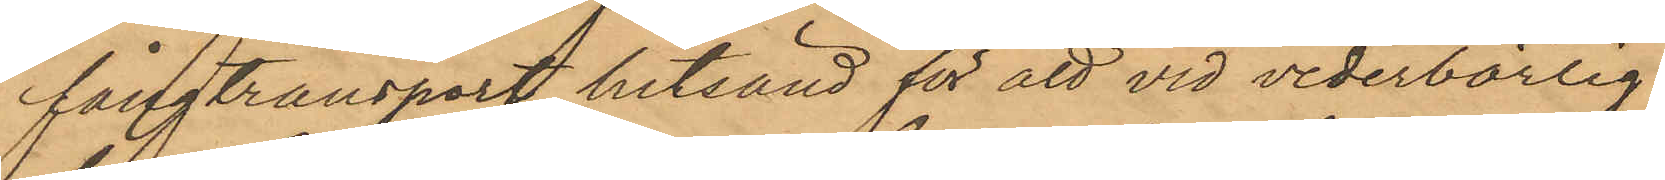fångtransport hitsänd för att vid vederbörlig
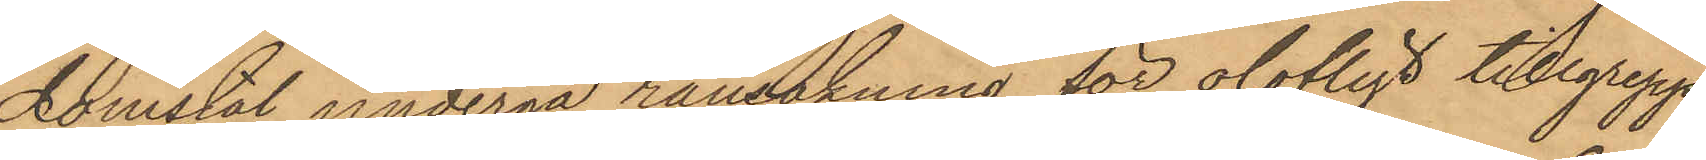Domstol undergå ransakning för olofligt tillgrepp,
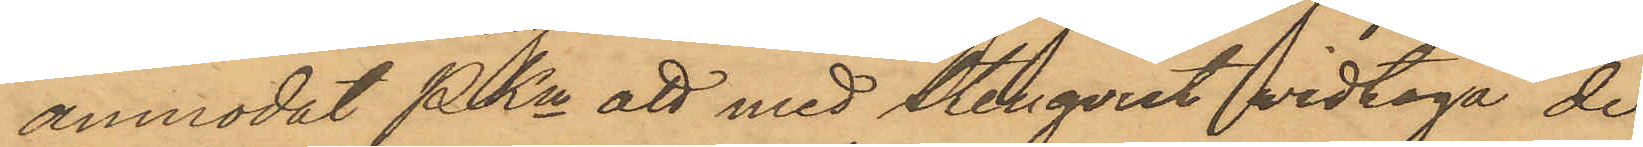anmodat PKn att med Stenqvist vidtaga de
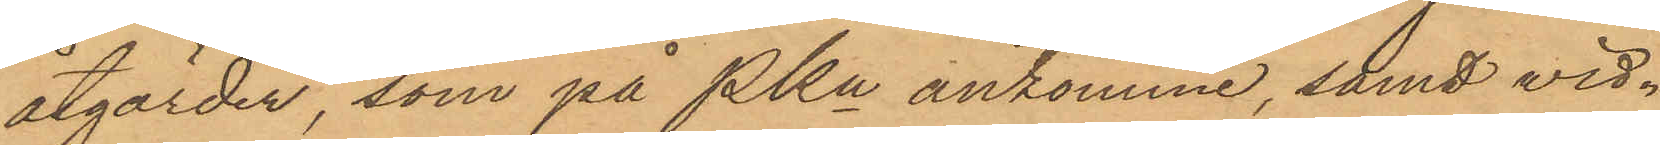åtgärder, som på Pkn ankomme, samt vid¬
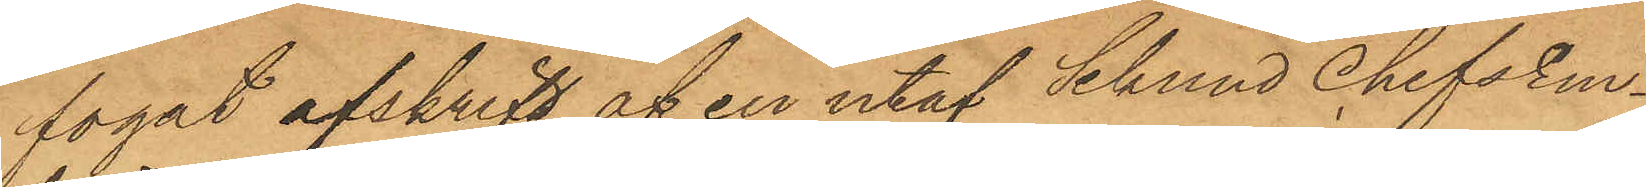fogat afskrift af en utaf Sekundchefsem¬
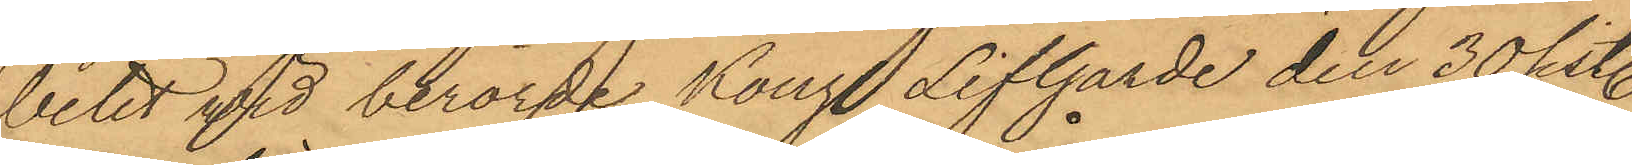betet vid berörde Kongl Lifgarde den 30 sist.
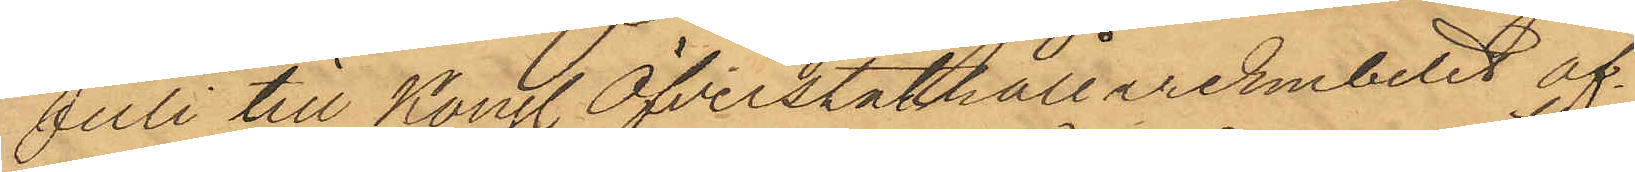Juli till Kongl Öfverståthållareembetet af¬
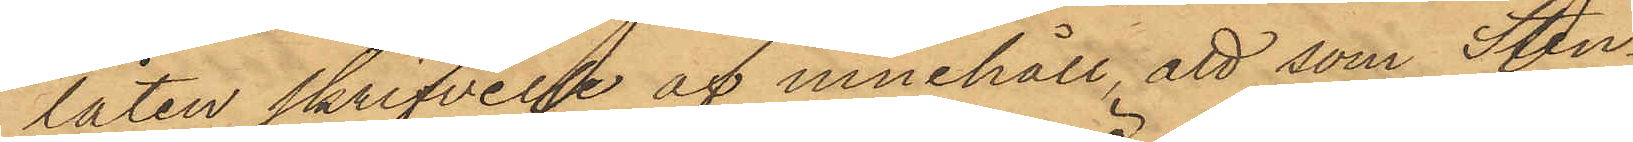låten skrifvelse af innehåll, att som Sten¬
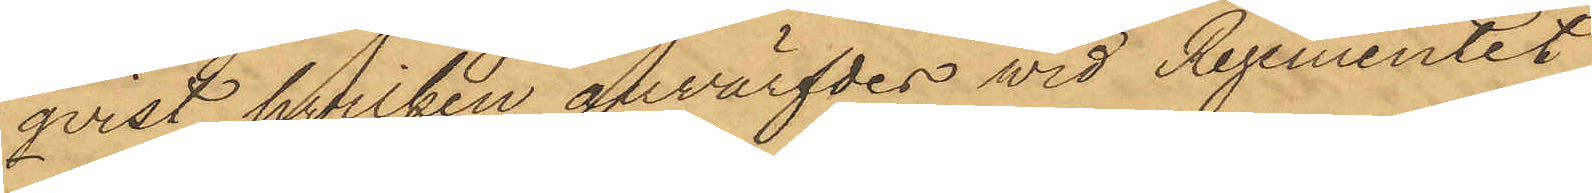qvist, hvilken anvärfdes wid Regementet
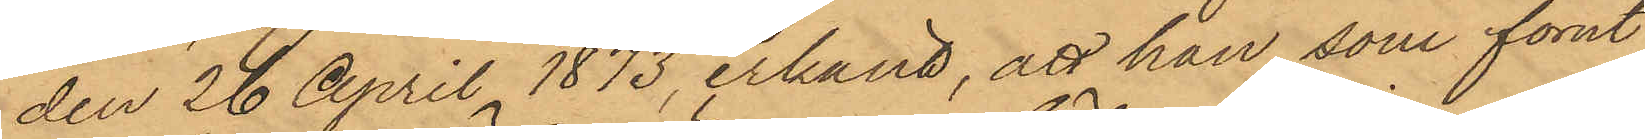den 26 April 1873, erkänt, att han, som förut
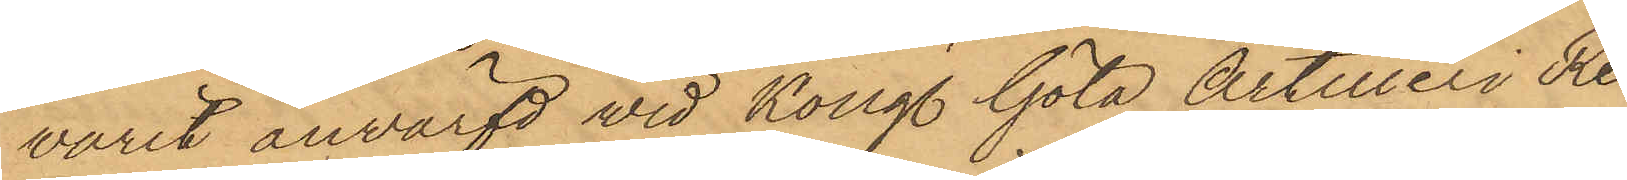varit anvärfd vid Kongl. Göta Artilleri Re¬
